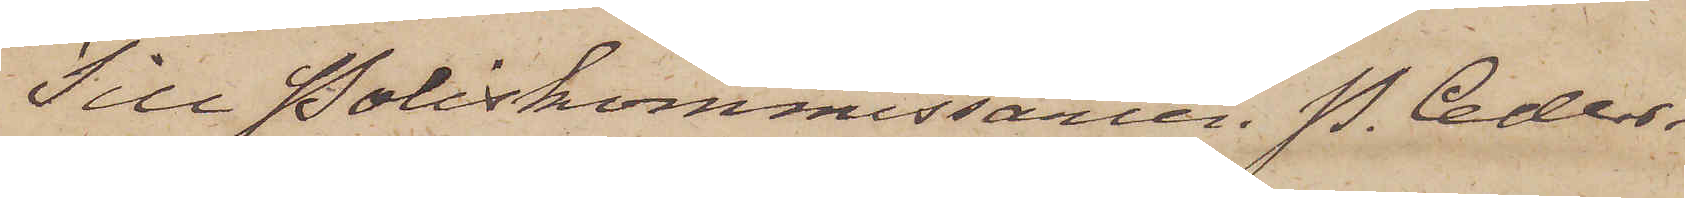Till Poliskommissarien P. Ceder¬
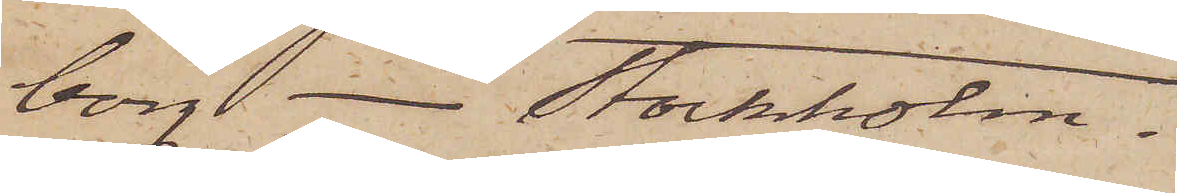borg Stockholm.
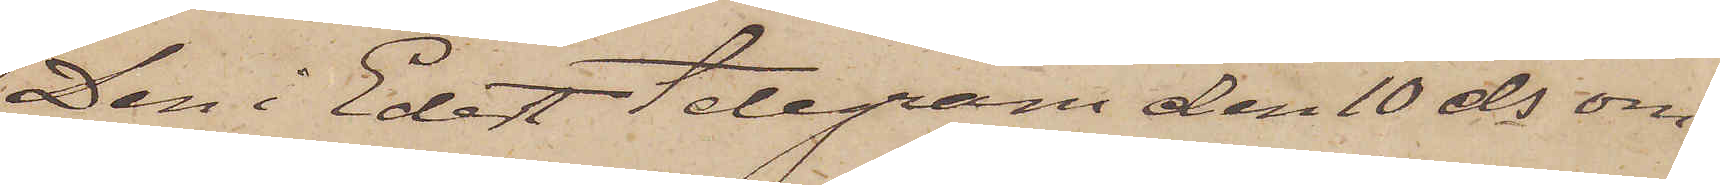Den i Edert Telegram den 10 ds om¬
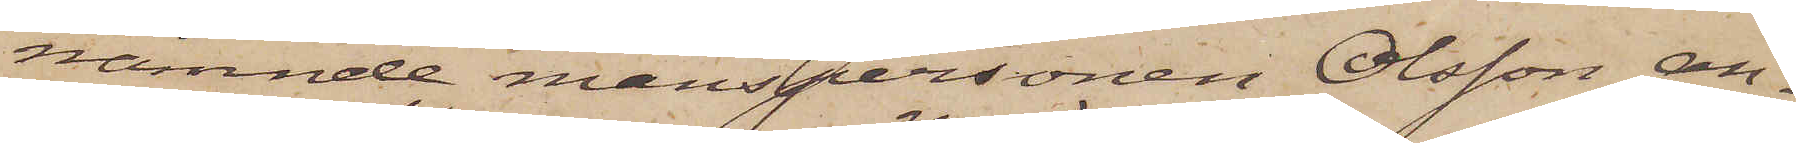nämnde manspersonen Olsson an¬
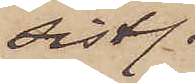sistl.
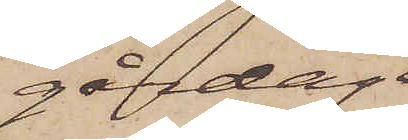gårdag
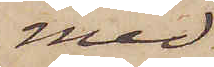med
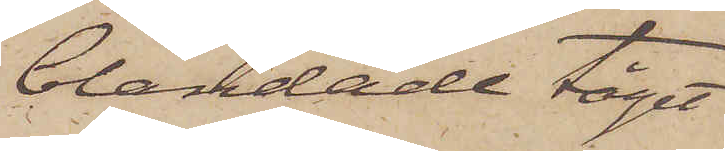blandade tåget
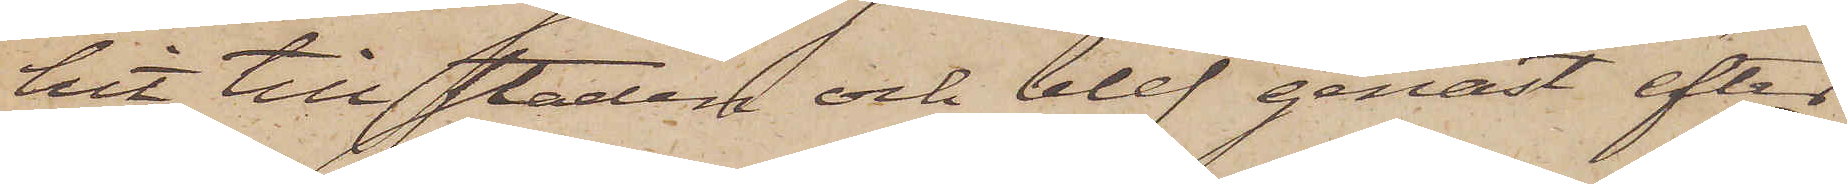hit till staden och blef genast efter
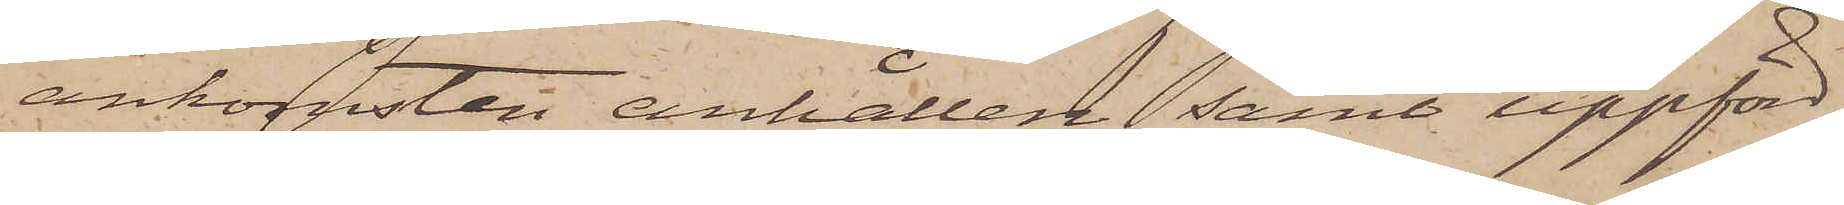ankomsten anhållen samt uppförd
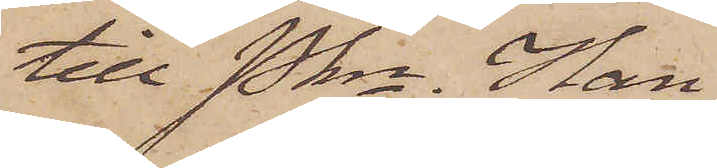till Pkn. Han
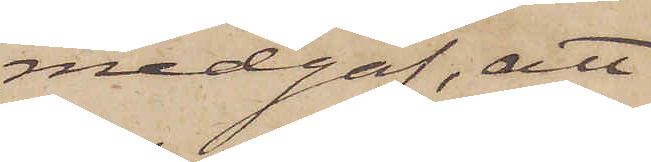medgaf, att
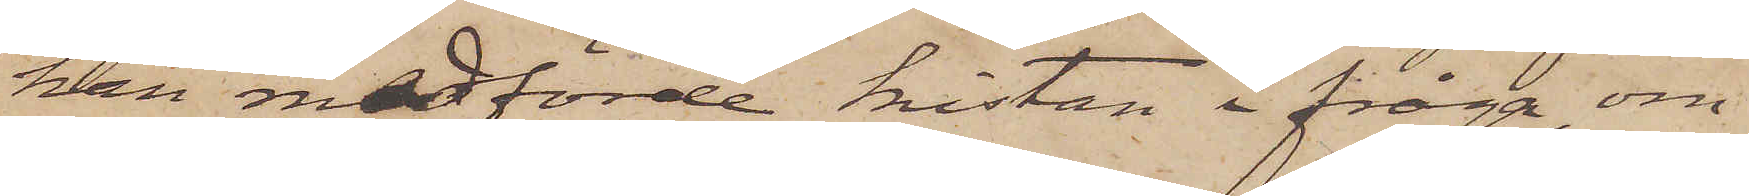han medförde kistan i fråga, om
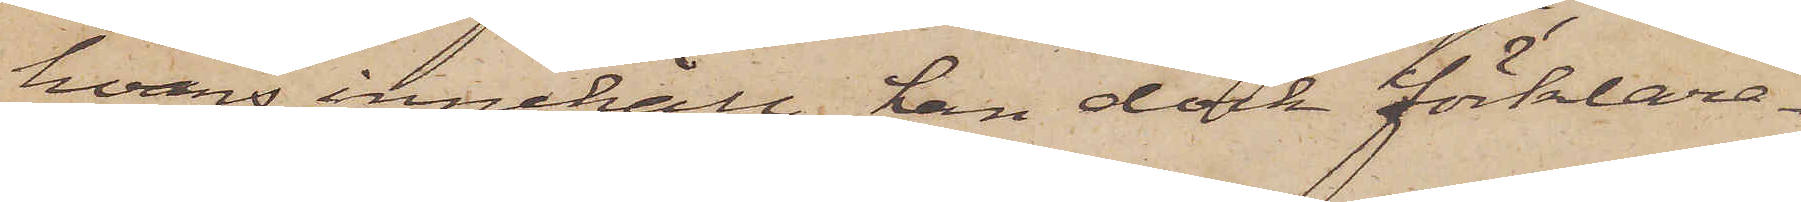hvars innehåll han dock förklara¬
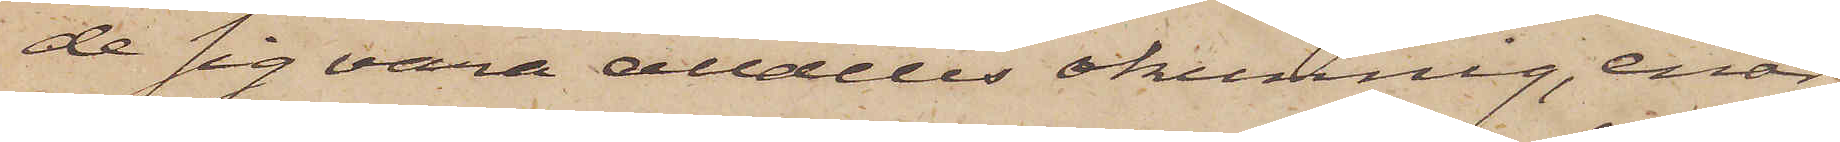de sig vara alldeles okunning, enär
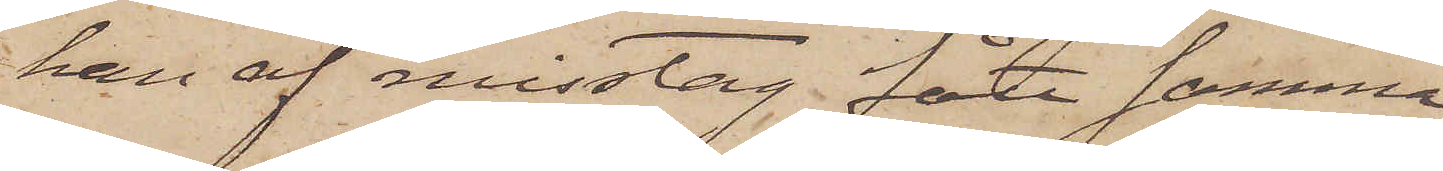han af misstag fått samma
